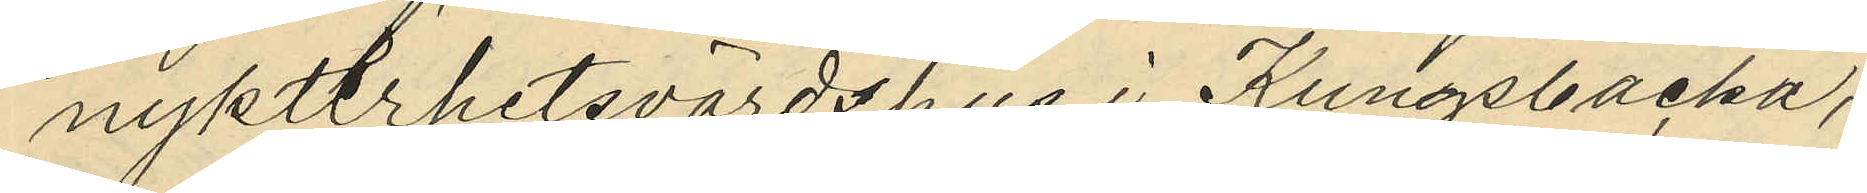nykterhetsvärdshus i Kungsbacka,
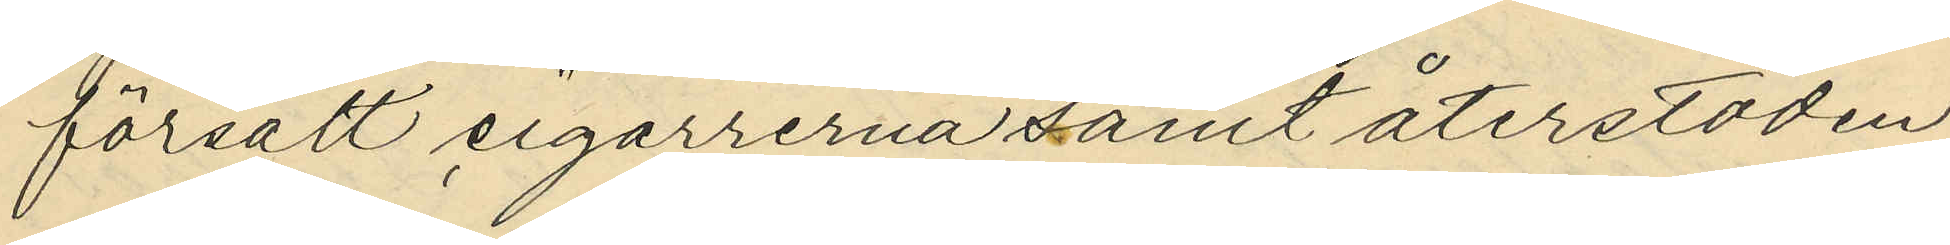försålt cigarrerna samt återstoden
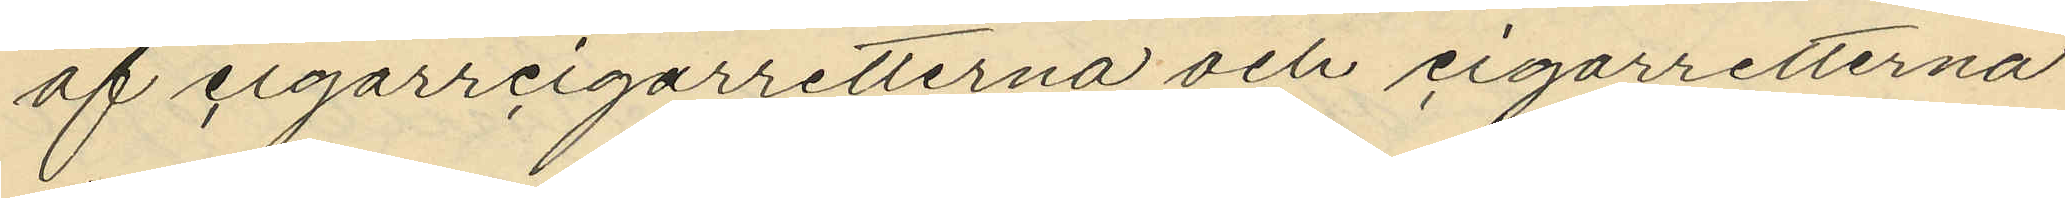af cigarrcigarretterna och cigarretterna
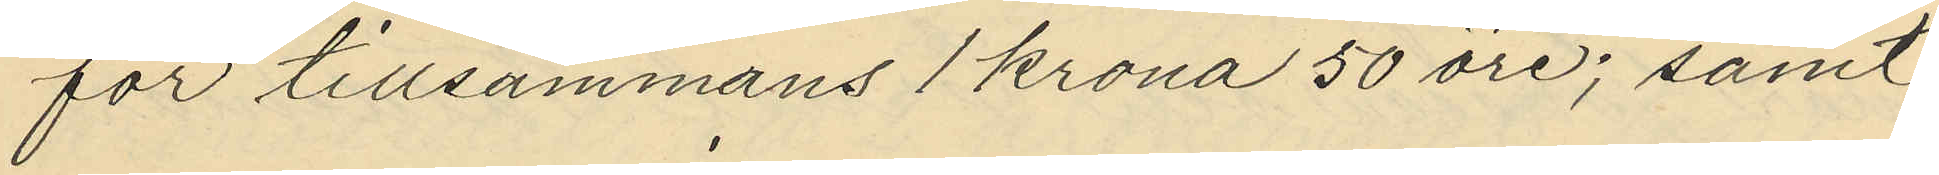för tillsammans 1 krona 50 öre; samt
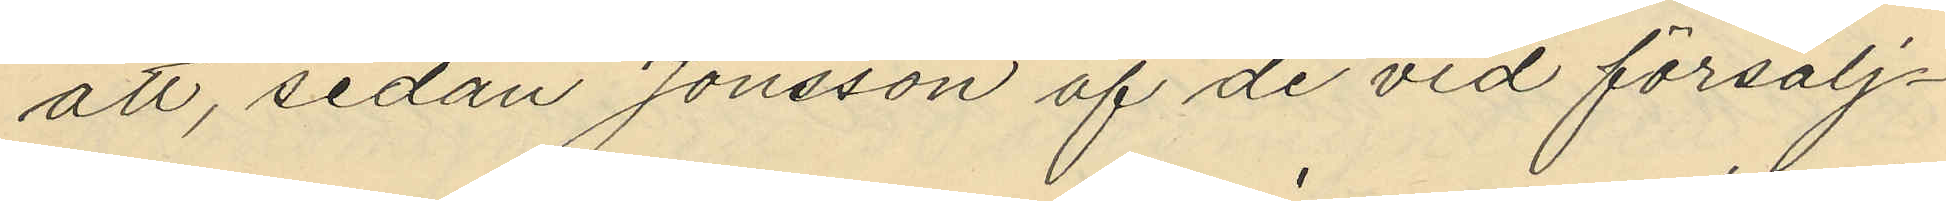att, sedan Jonsson af de vid försälj¬
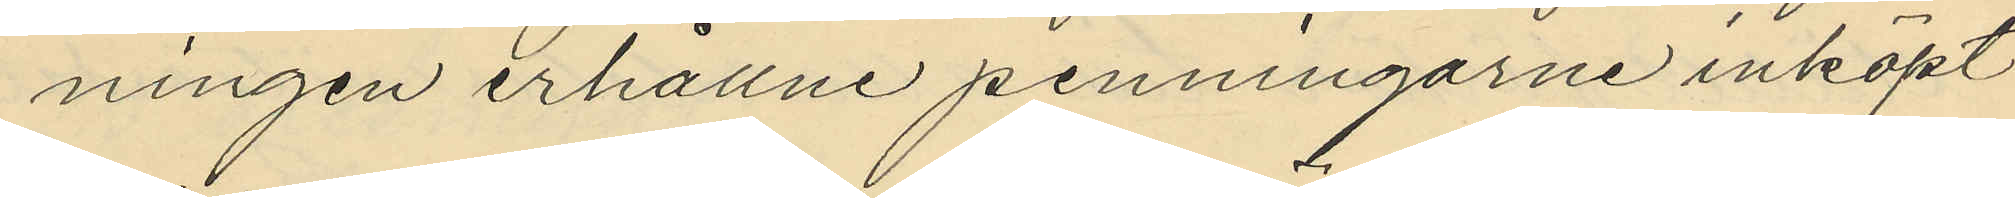ningen erhållne penningarne inköpt
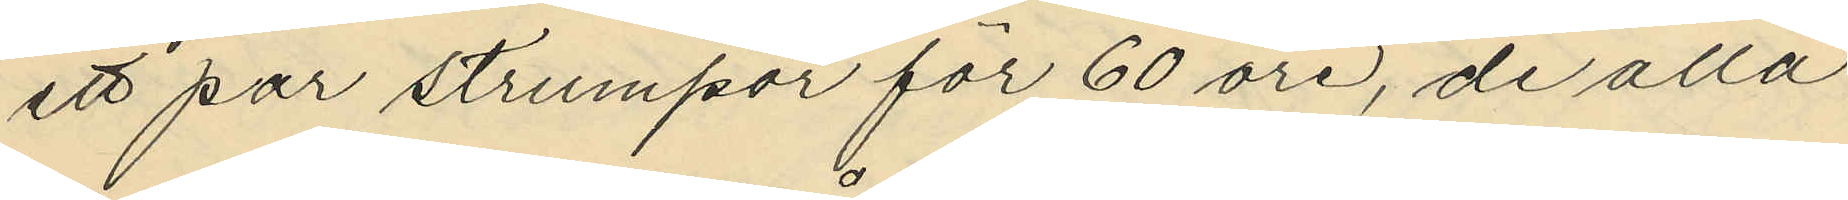ett par strumpor för 60 öre, de alla
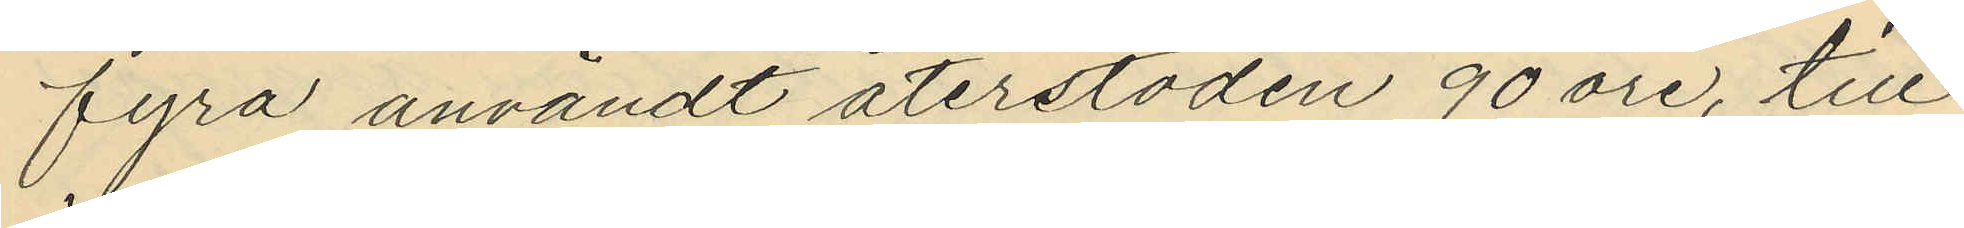fyra användt återstoden 90 öre, till
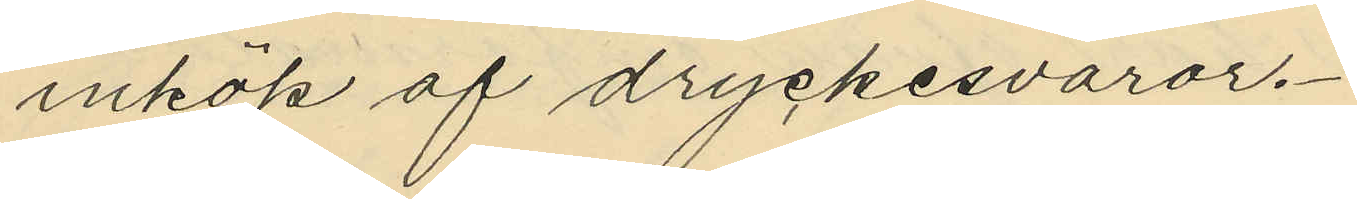inköp af dryckesvaror.
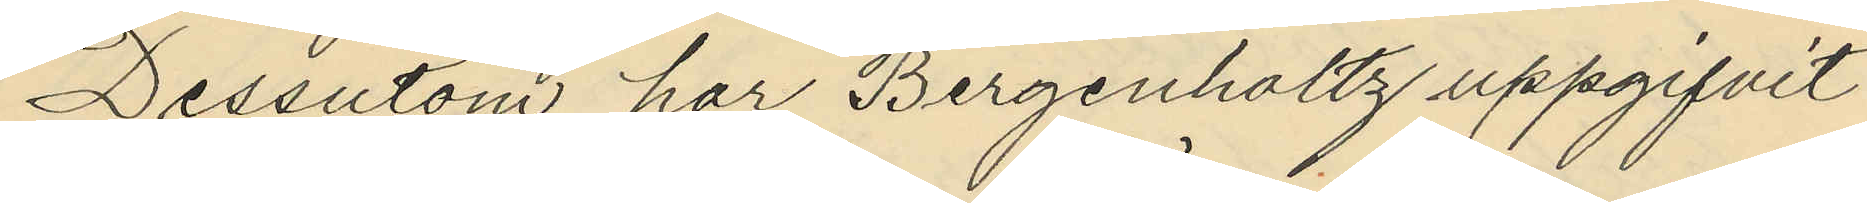Dessutom har Bergenhollz uppgifvit
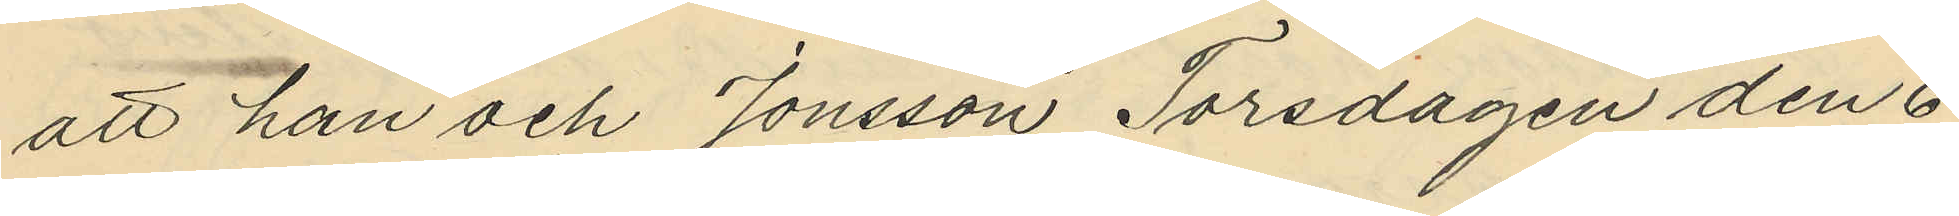att han och Jonsson Torsdagen den 6
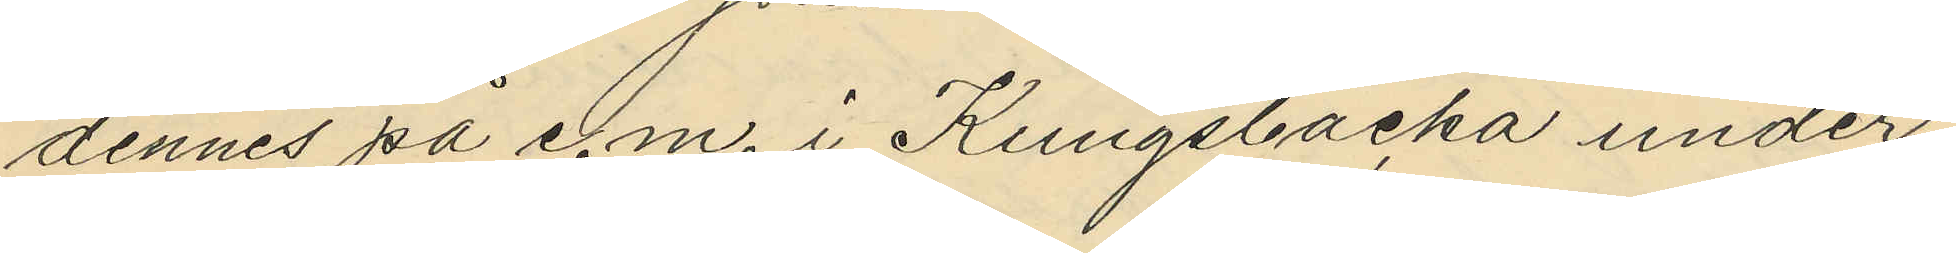dennes på e.m. i Kungsbacka under
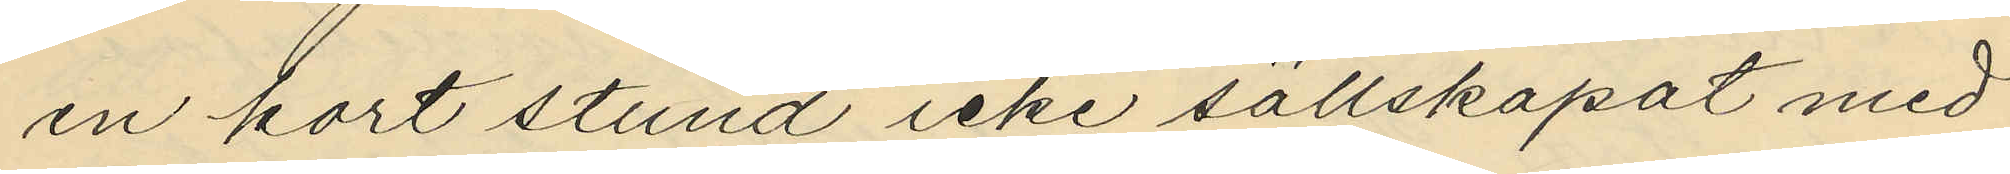en kort stund icke sällskapat med
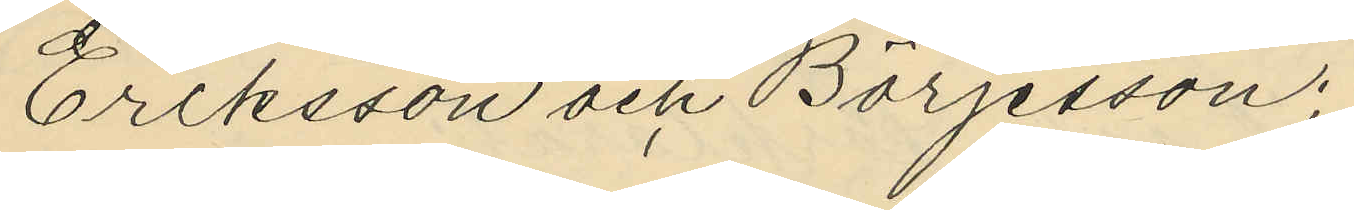Eriksson och Börjesson;
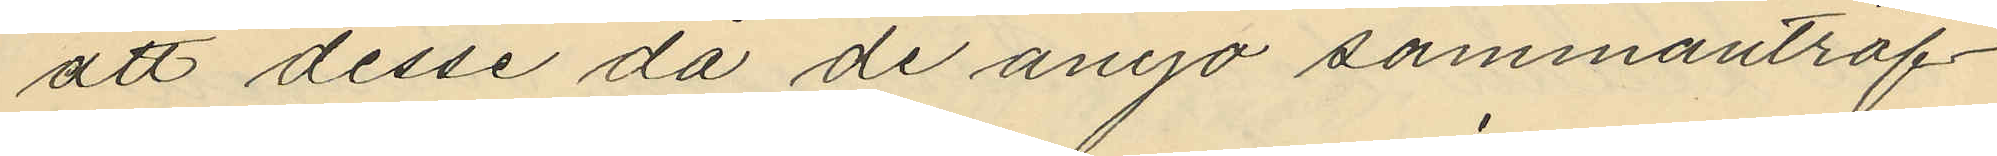att desse då de ånyo sammanträf¬
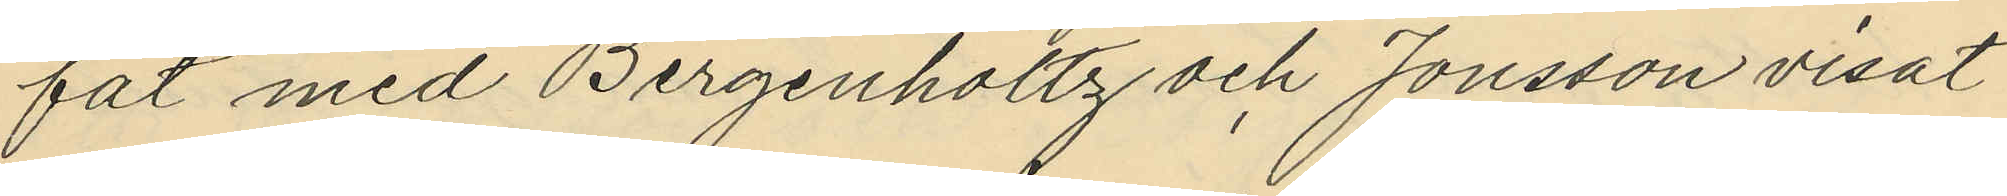fat med Bergenholtz och Jonsson visat
